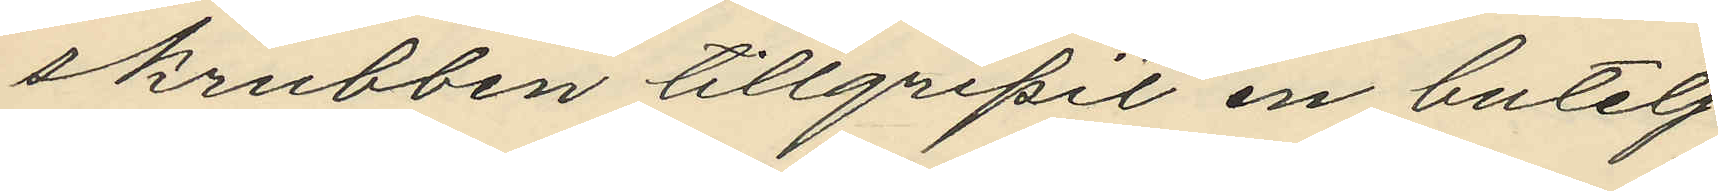skrubben tillgripit en butelj
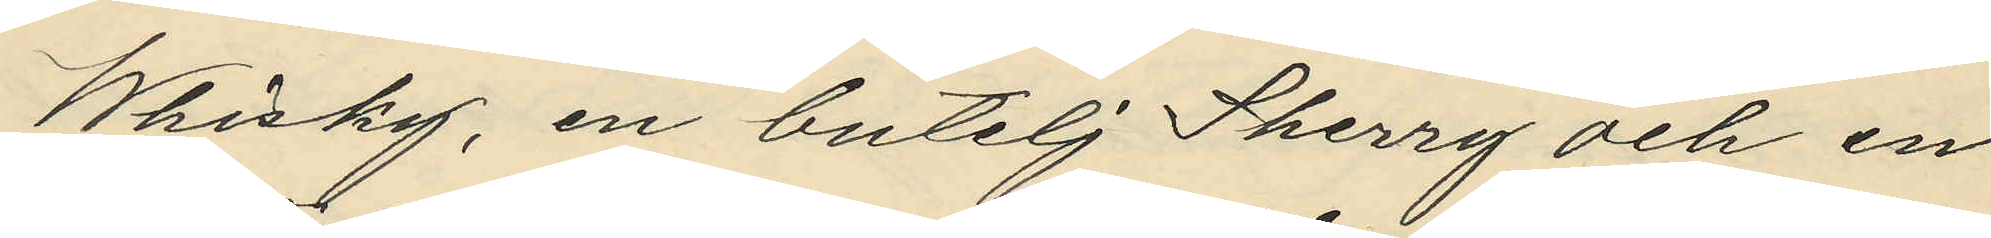Whisky, en butelj Sherry och en
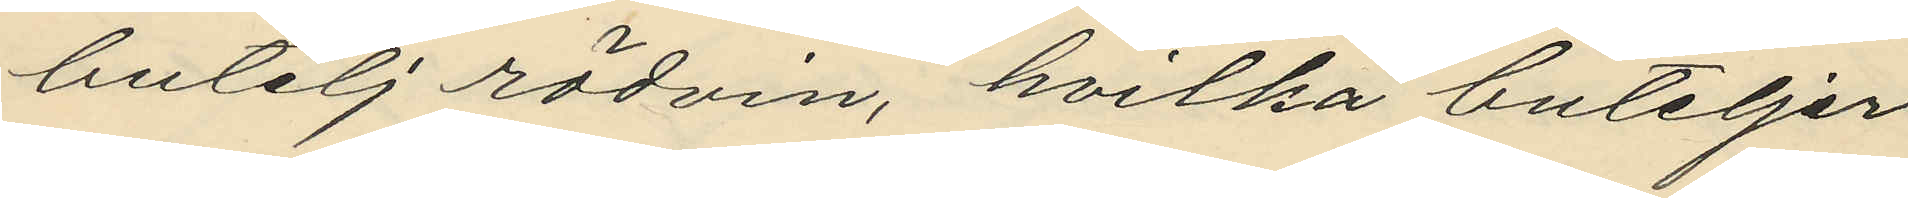butelj rödvin, hvilka buteljer
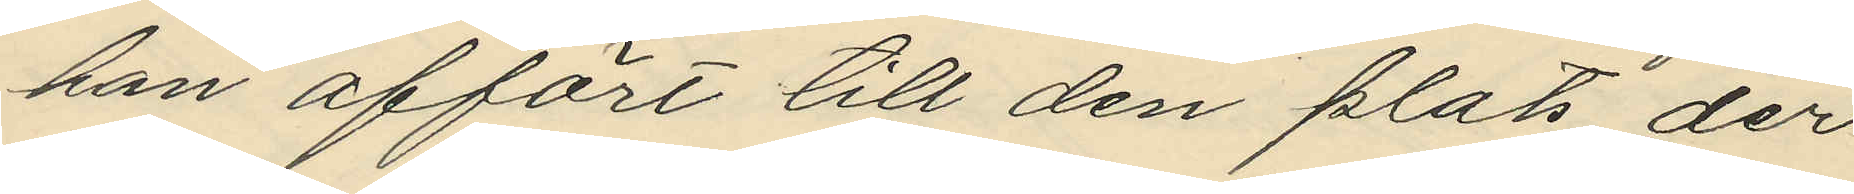han affört till den plats der
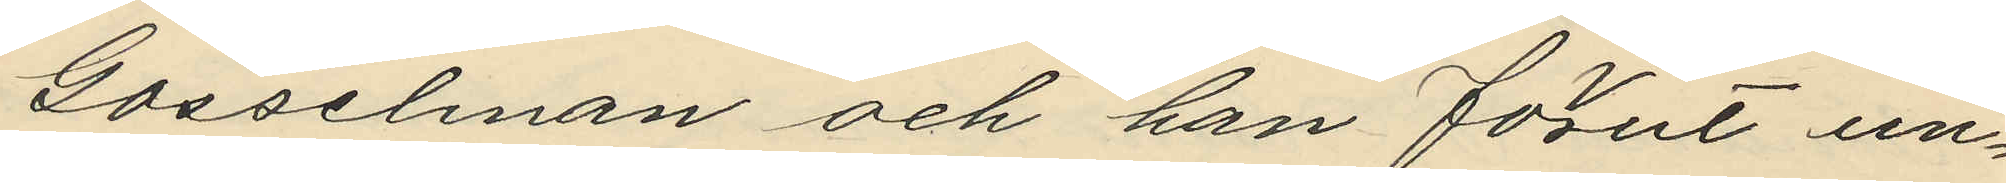Gosselman och han förut un¬
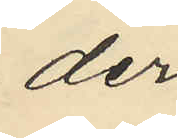der
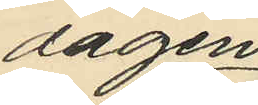dagen
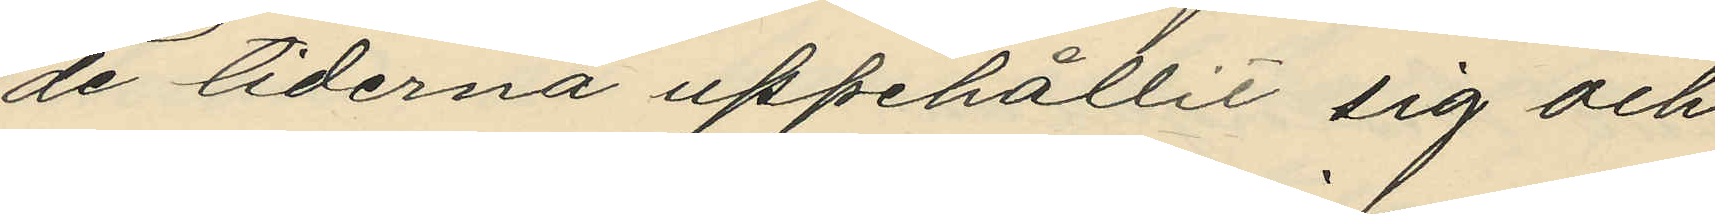de tiderna uppehållit sig och
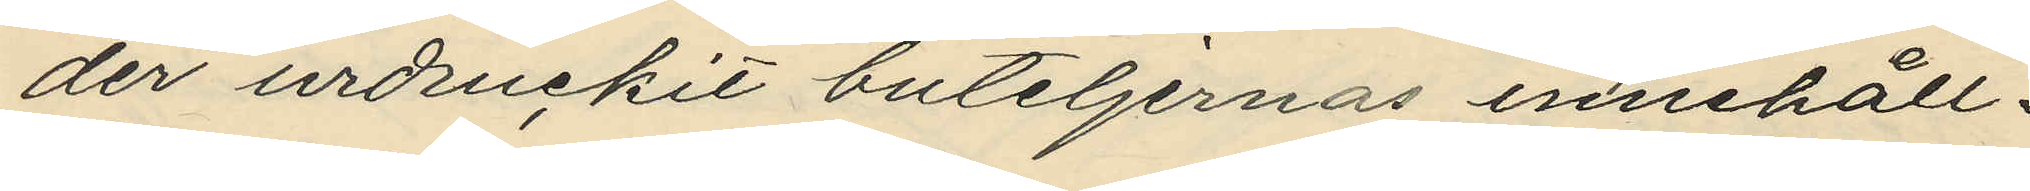der urdruckit buteljernas innehåll.
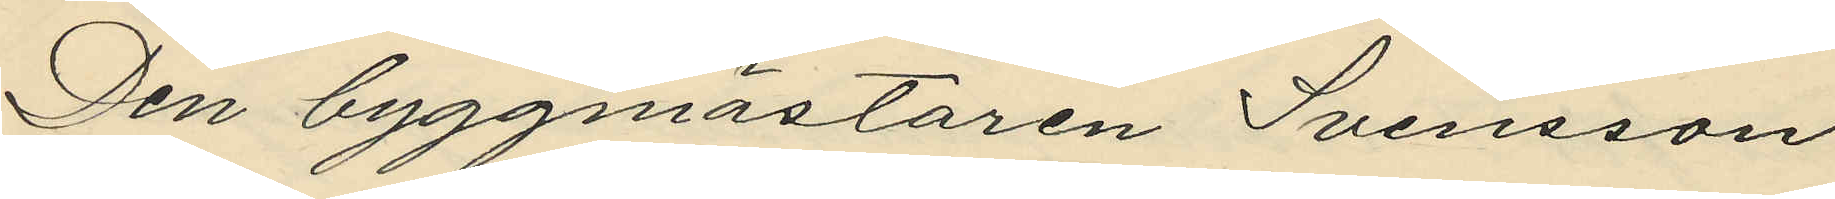Den byggmästaren Svensson
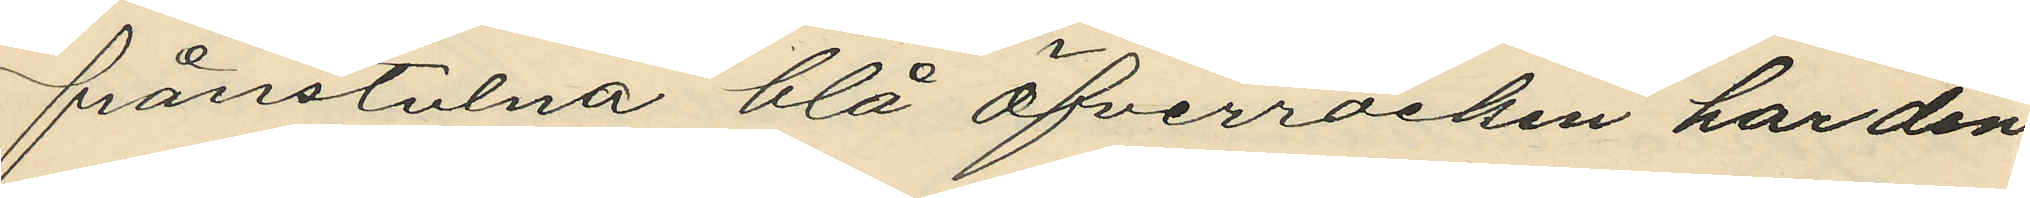frånstulna blå öfverrocken har den
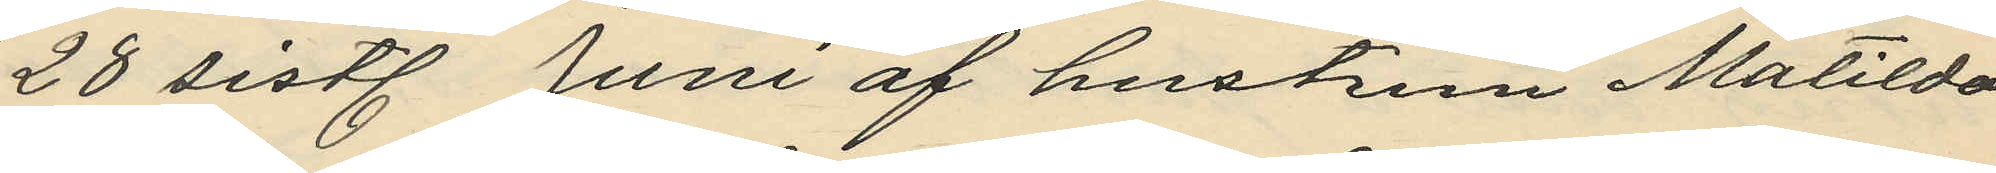28 sistl. Juni af hustrun Matilda
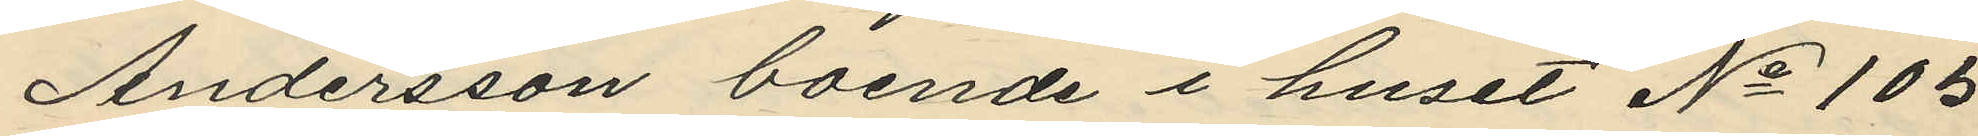Andersson boende i huset No 105
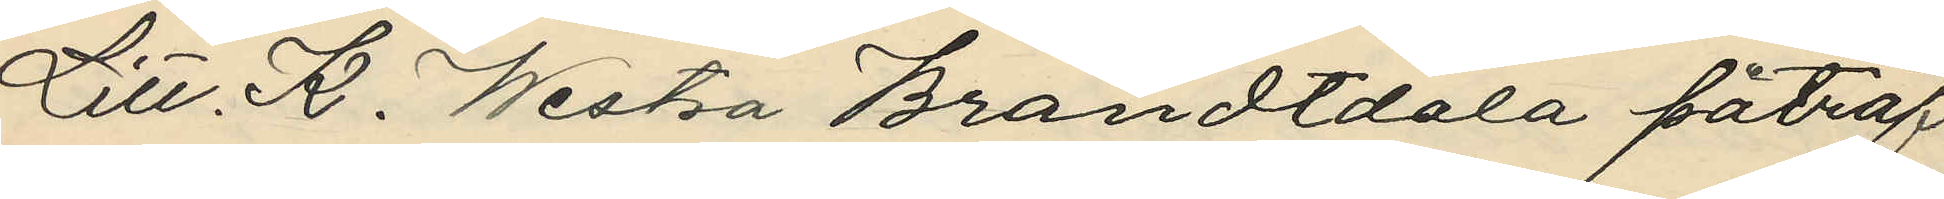Litt. K. Westra Brandtdala påträf
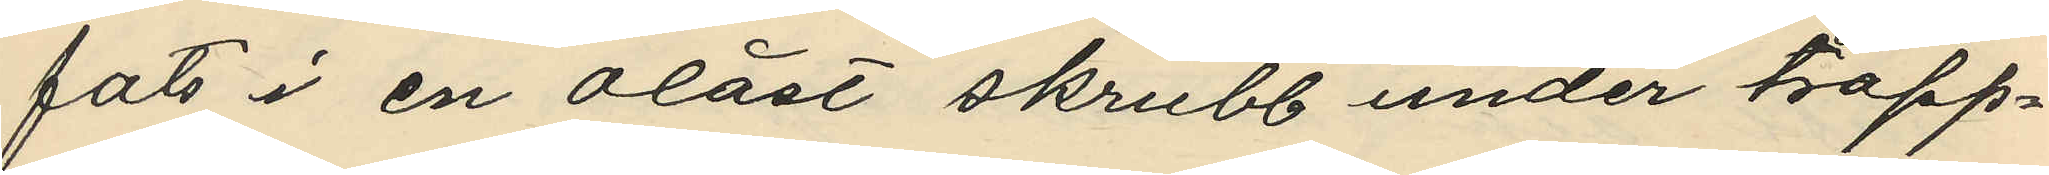fats i en olåst skrubb under trapp¬
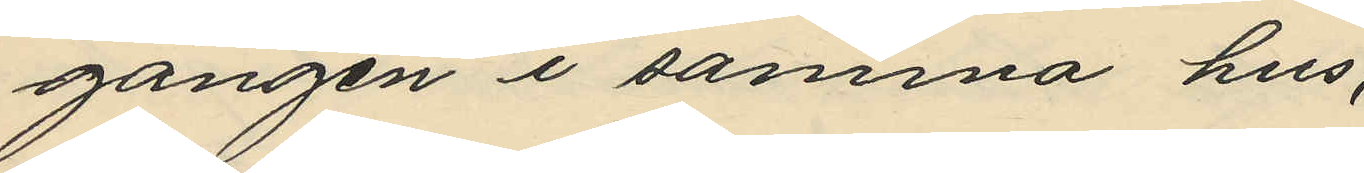gången i samma hus,
